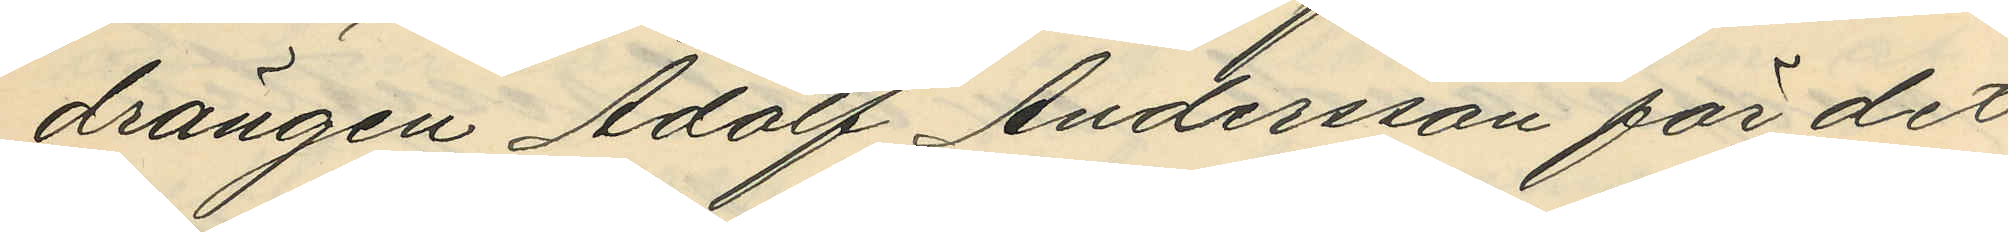drängen Adolf Andersson för det
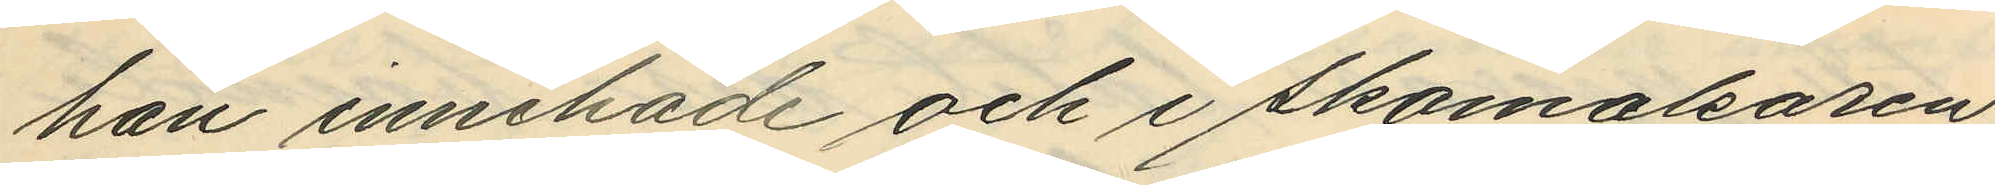han innehade och i skomakaren
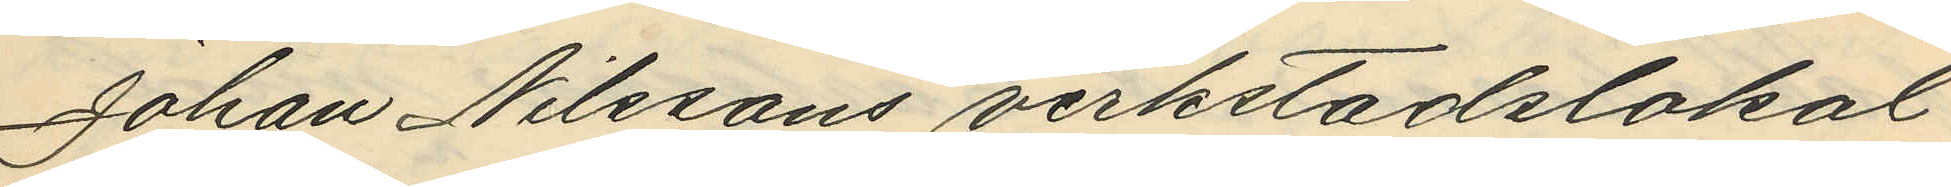Johan Nilssons verkstadslokal
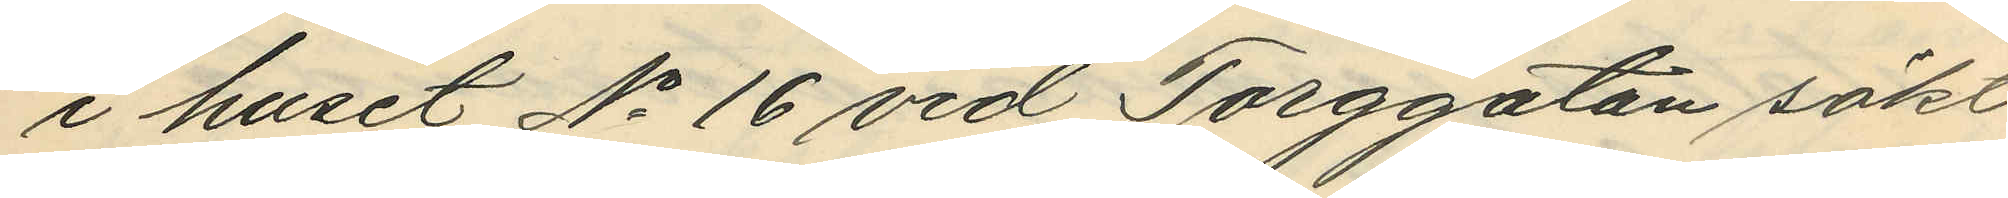i huset No 16 vid Torggatan sökt
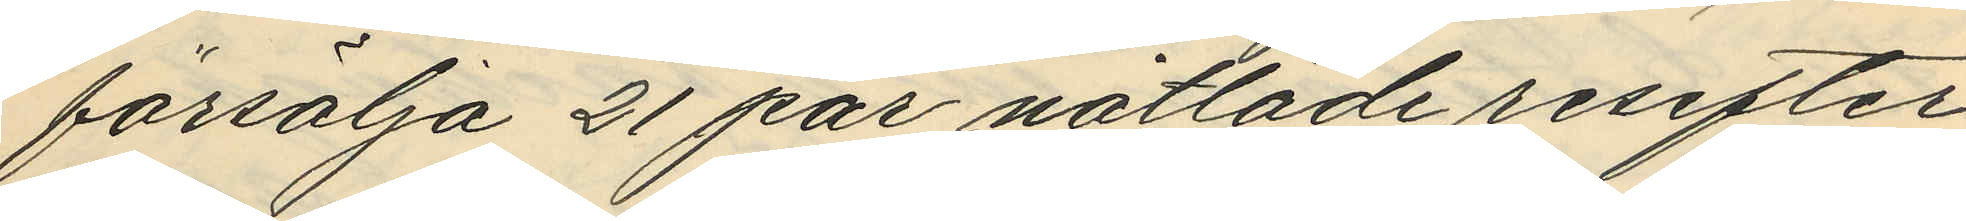försälja 21 par nåtlade resefter
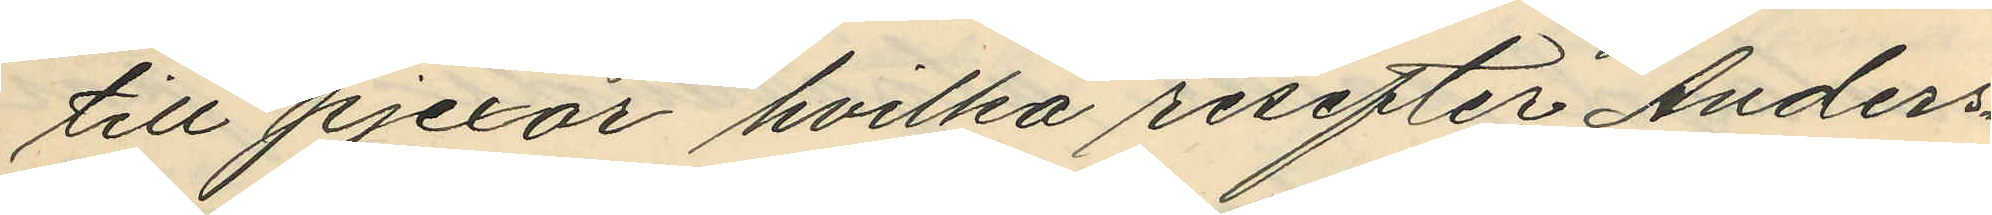till pjexor hvilka resefter Anders¬
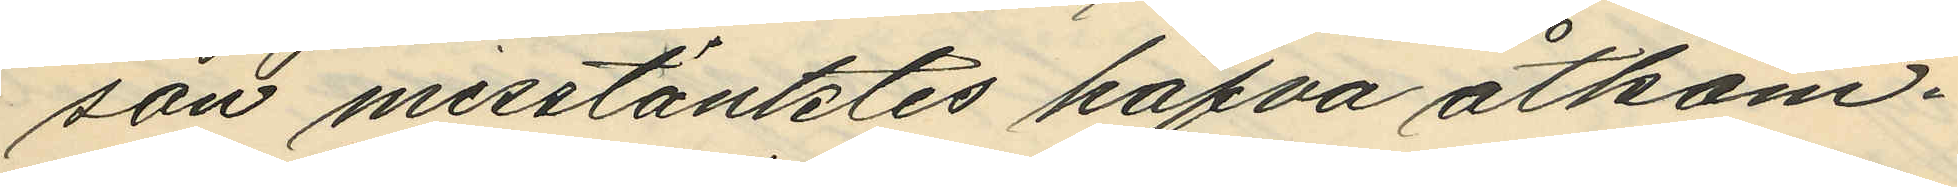son misstänktes hafva åtkom¬
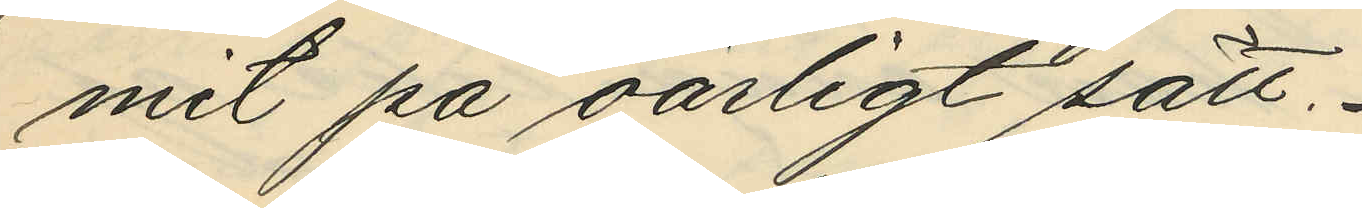mit på oärligt sätt.
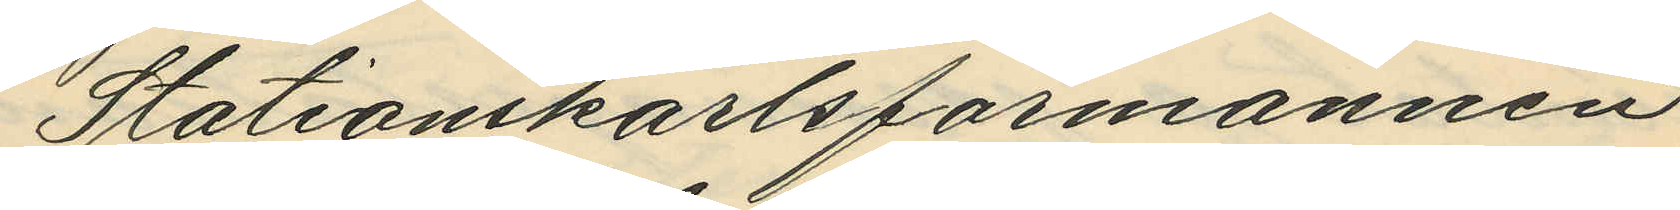Stationskarlsförmannen
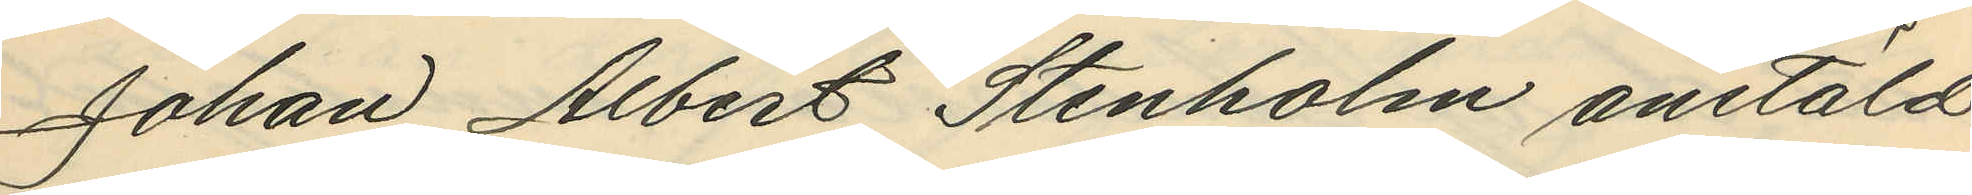Johan Albert Stenholm anstäld
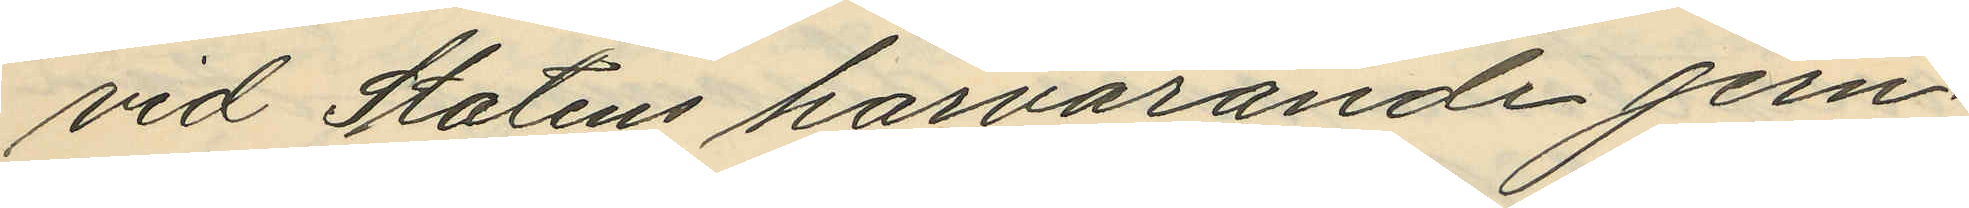vid Statens härvarande jern¬
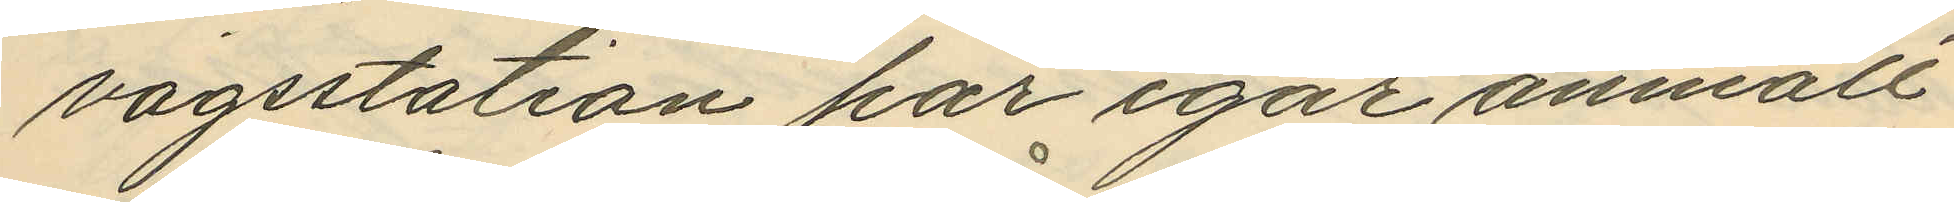vägsstation har igår anmält
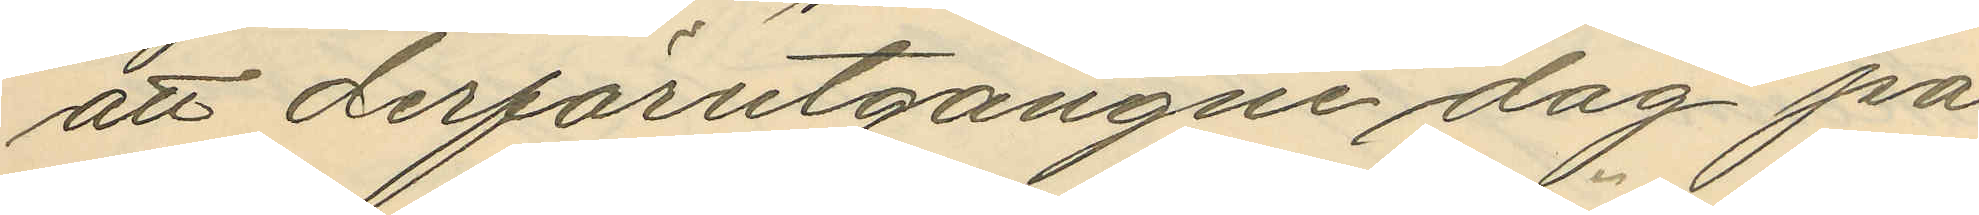att derförutgångne dag på
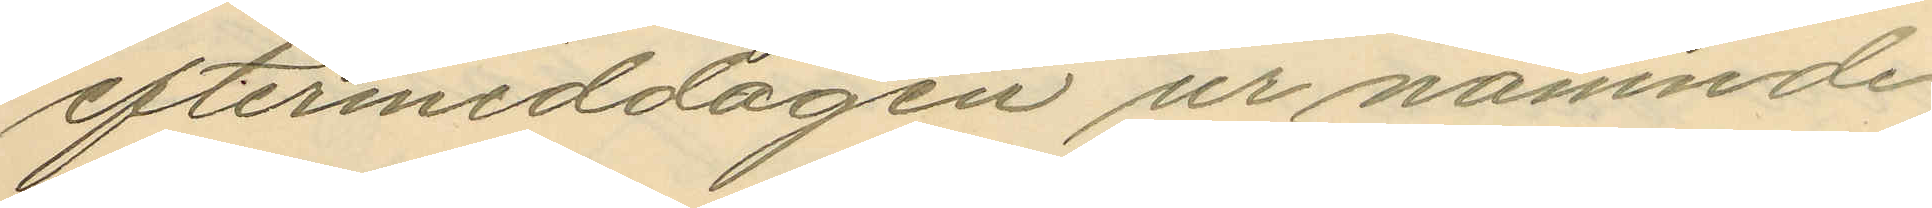eftermiddagen ur nämnde
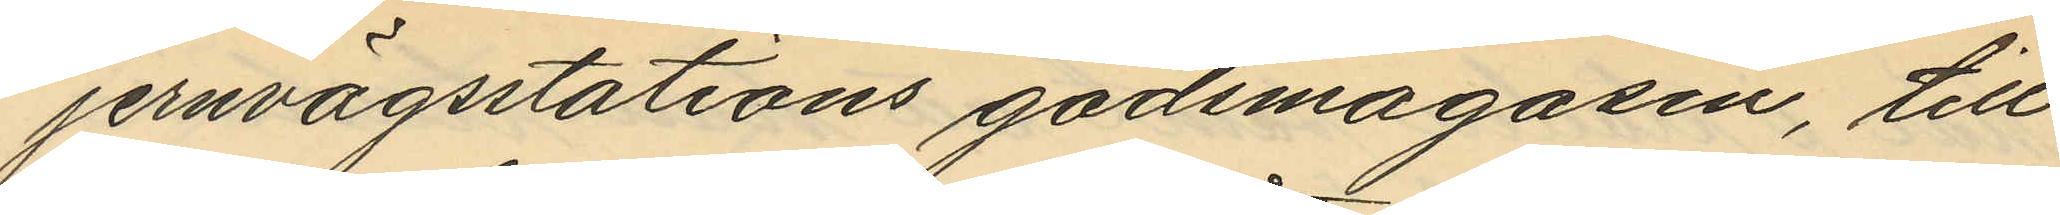jernvägsstations godsmagasin, till
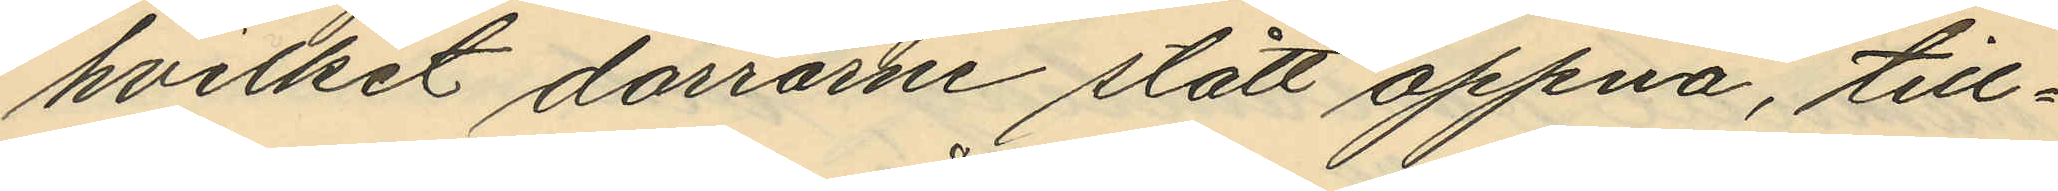hvilket dörrarne stått oppna, till¬
